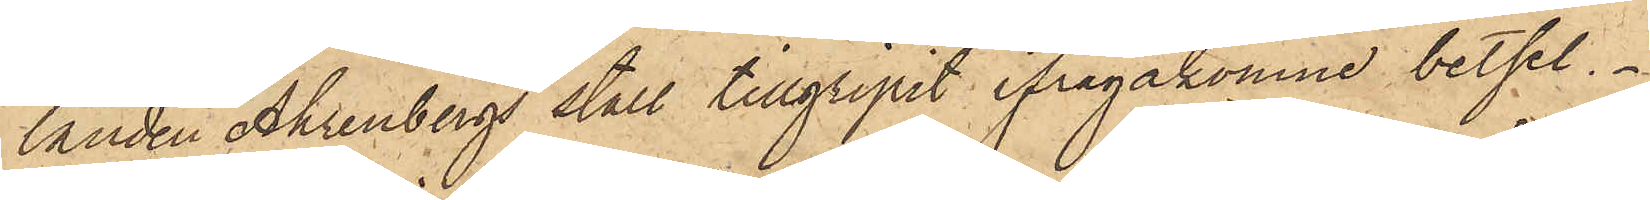landen Ahrenbergs stall tillgripit ifrågakomne betsel.
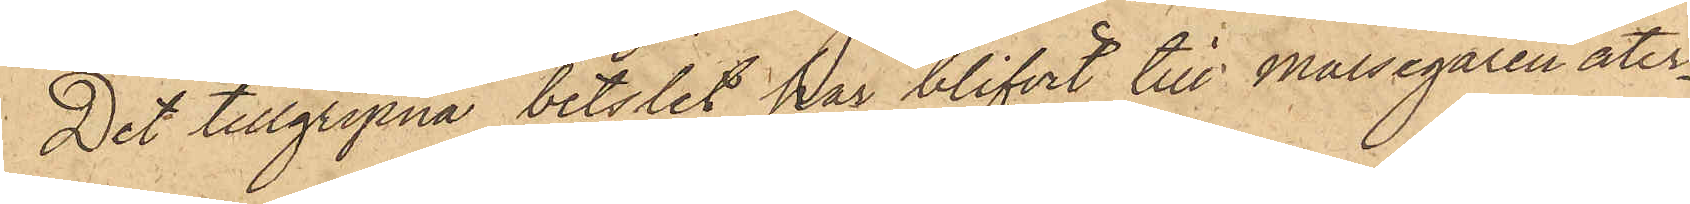Det tillgripna betslet har blifvit till målsegaren åter¬
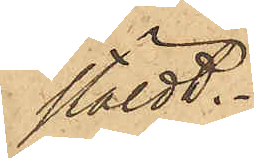stäldt.
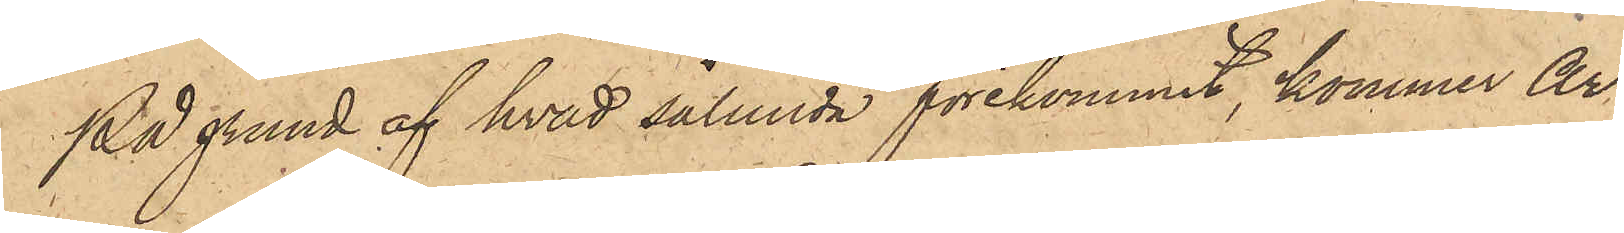På grund af hvad sålunda förekommit, kommer Ar¬
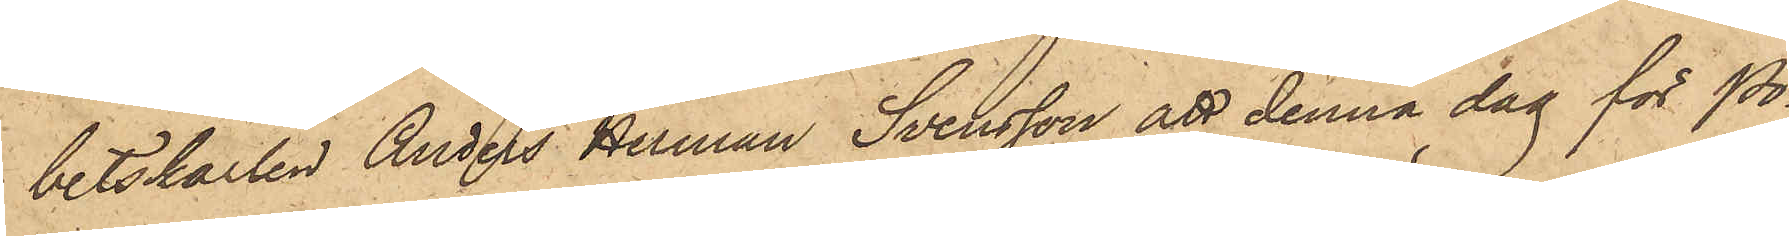betskarlen Anders Herman Svensson att denna dag för Po¬
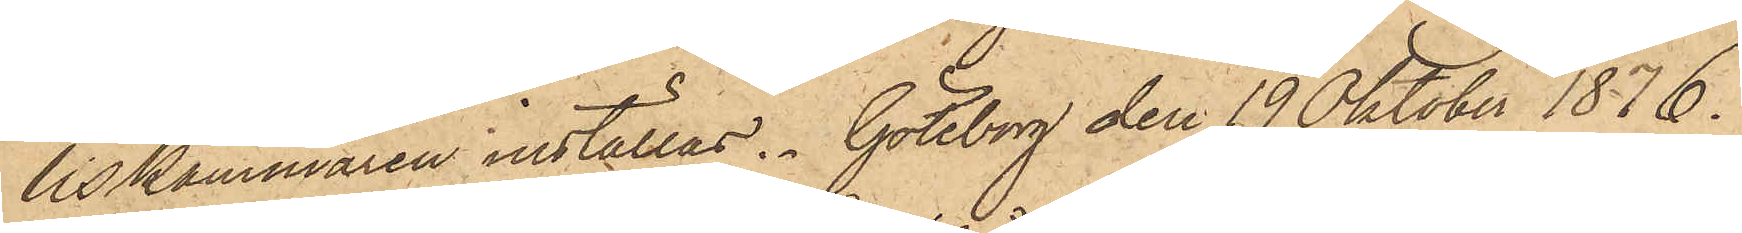liskammaren inställas. Göteborg den 19 Oktober 1876.
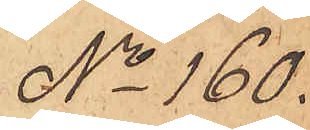No 160.
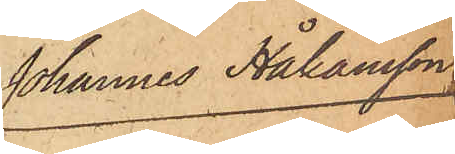Johannes Håkansson
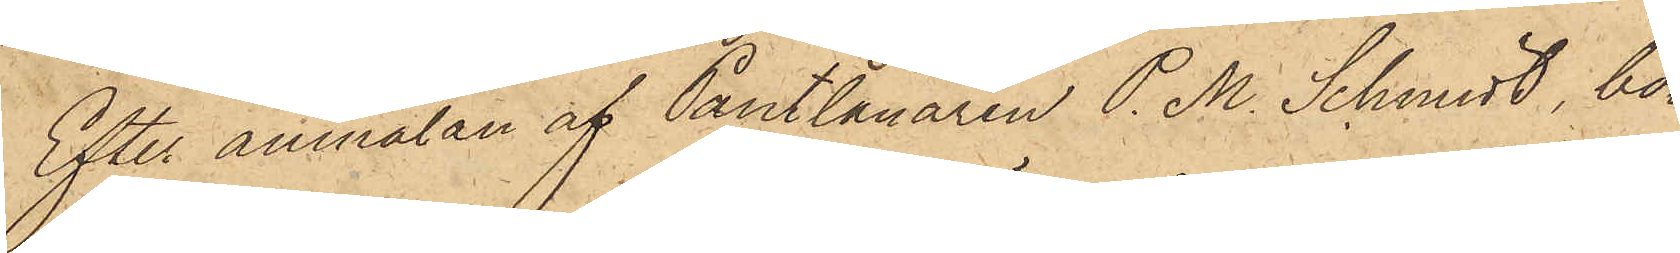Efter anmälan af Pantlånaren P. M. Schmidt, bo¬
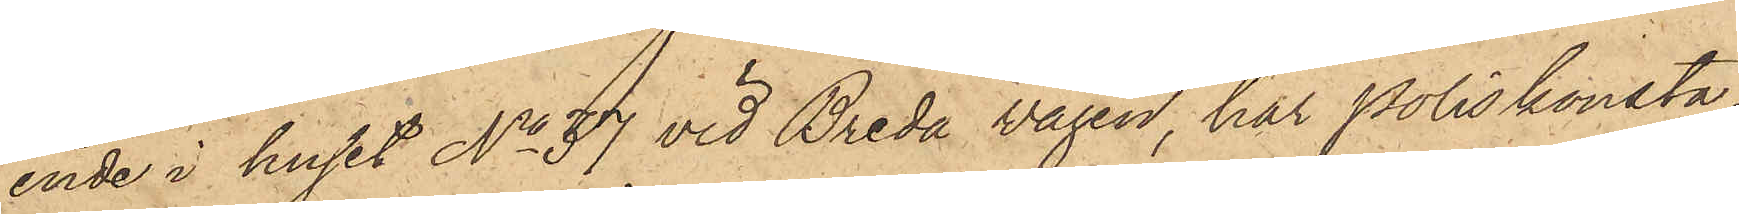ende i huset No 37 vid Breda vägen, har Poliskonsta¬
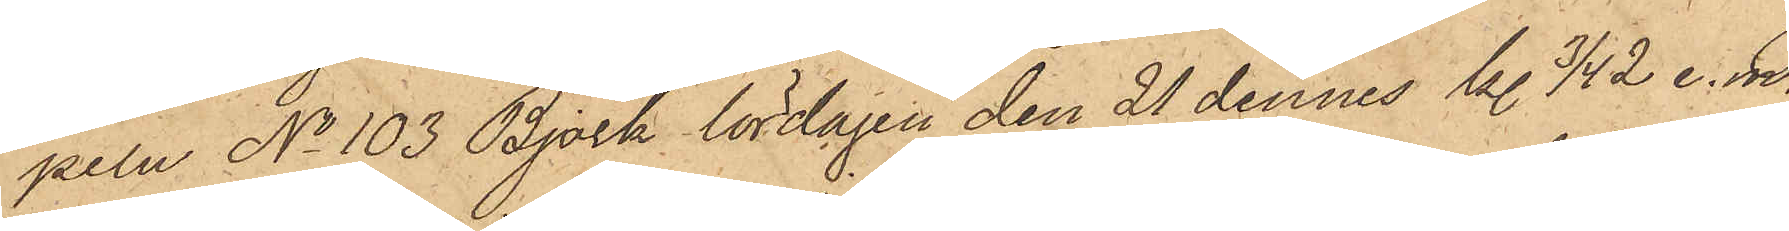peln No 103 Björk lördagen den 21 dennes kl. 3/4 2 e. m.
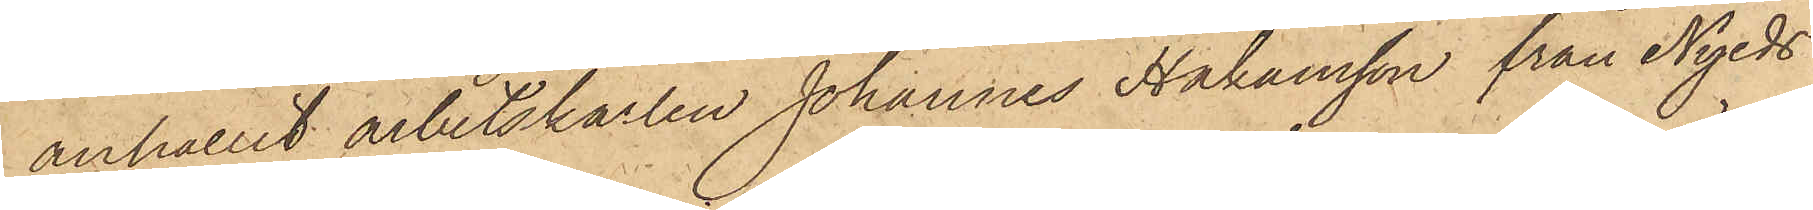anhållit arbetskarlen Johannes Håkansson från Nyeds
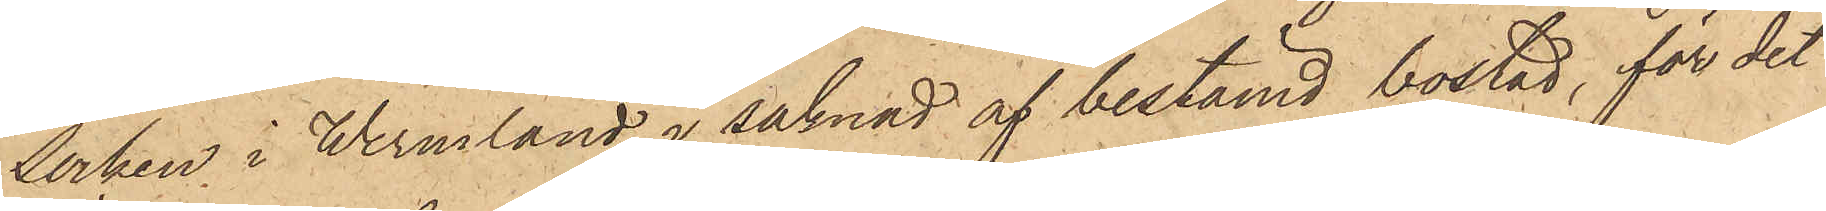Socken i Wermland, i saknad af bestämd bostad, för det
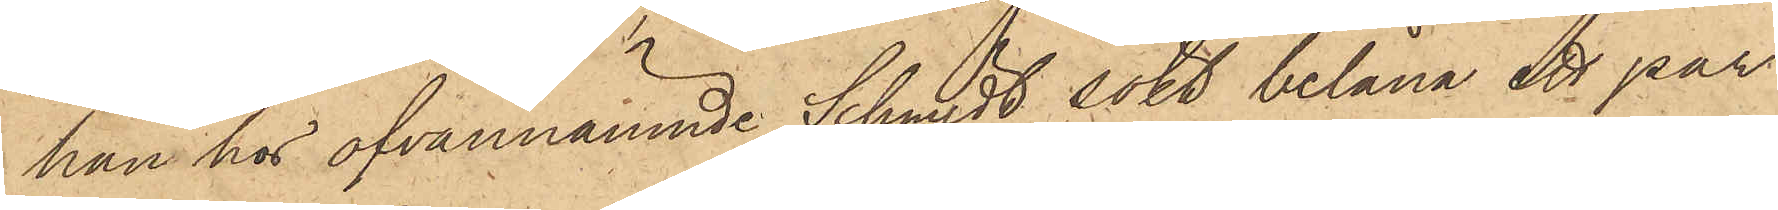han hos ofvannämnde Schmidt sökt belåna ett par
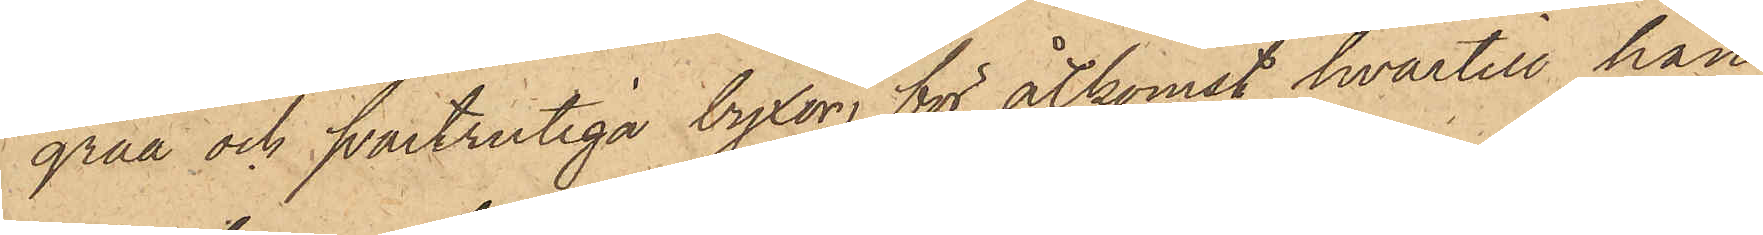gråa och svartrutiga byxor för åtkomst hvartill han
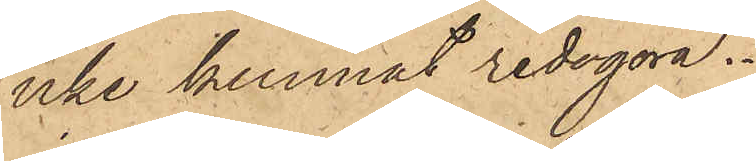icke kunnat redogöra.
